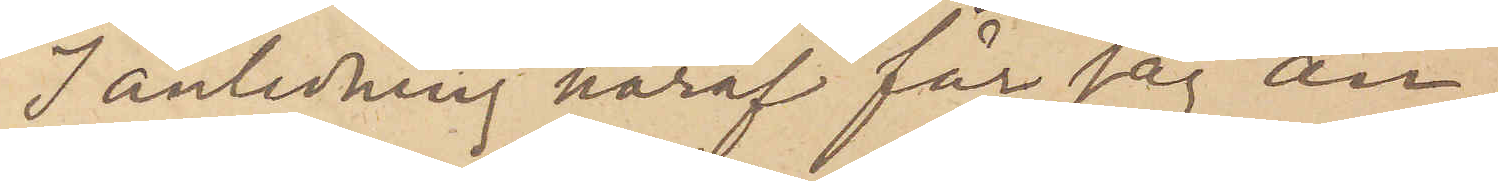I anledning häraf får jag an¬
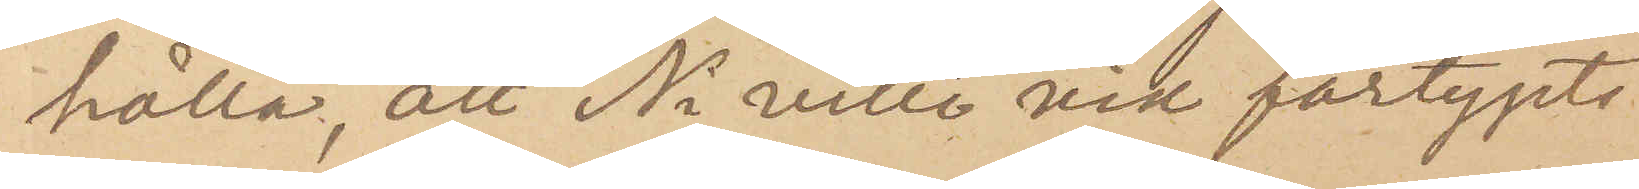hålla, att Ni ville vid fartygets
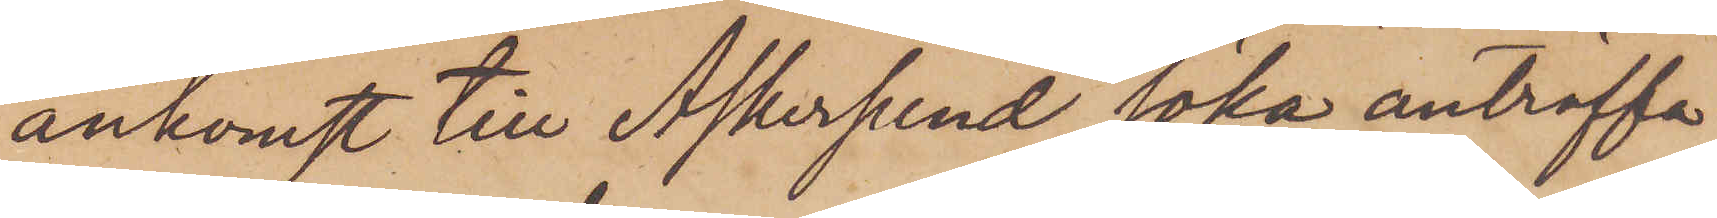ankomst till Askersund söka anträffa
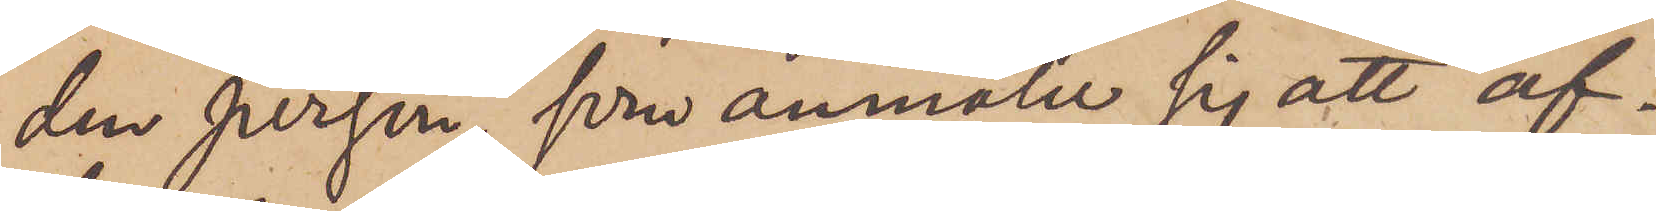den person, som anmäler sig att af¬
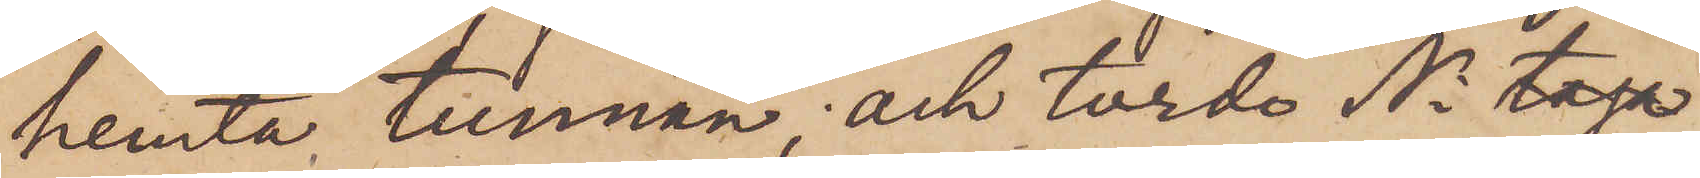hemta tunnan, och torde Ni 
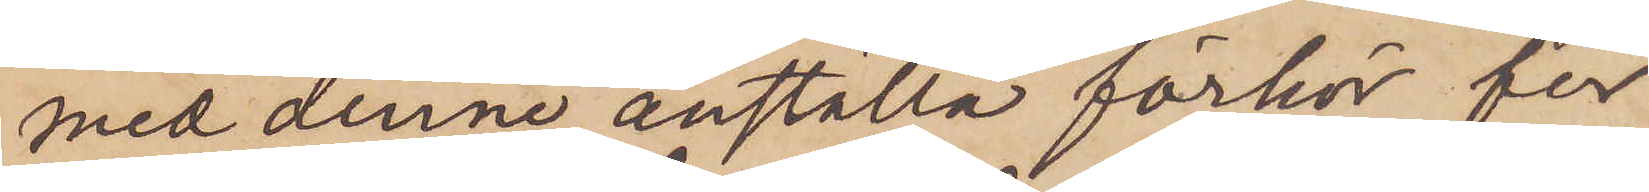med denne anställa förhör för
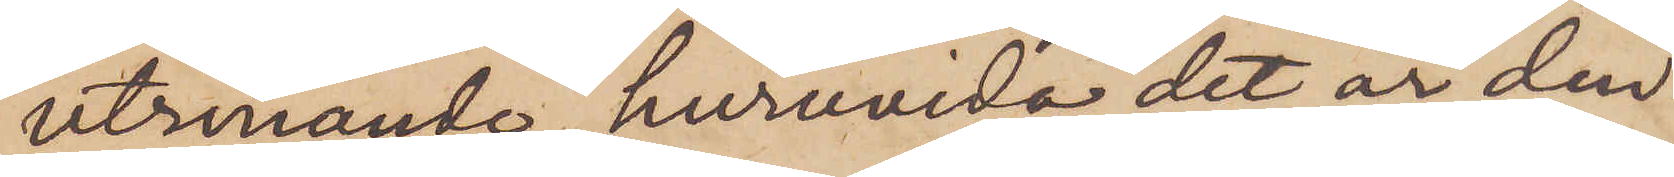utrönande, huruvida det är den
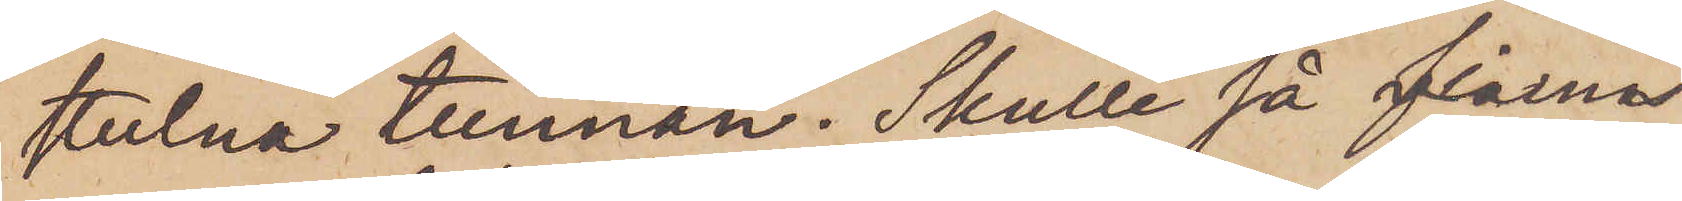stulna tunnan. Skulle så finnas
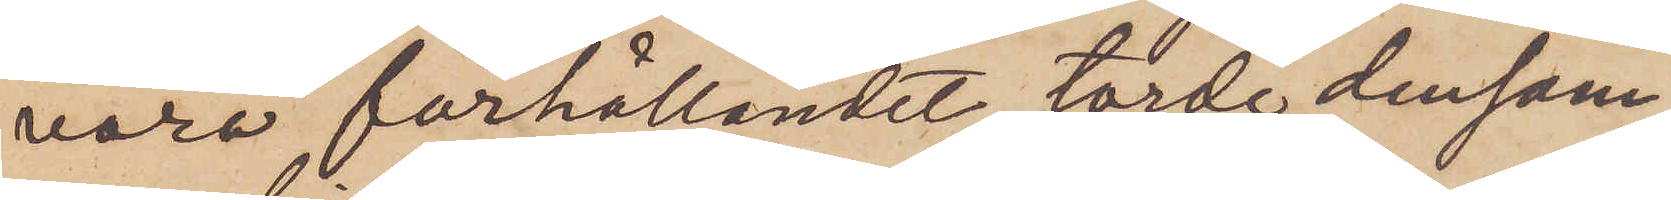vara förhållandet, torde densam¬
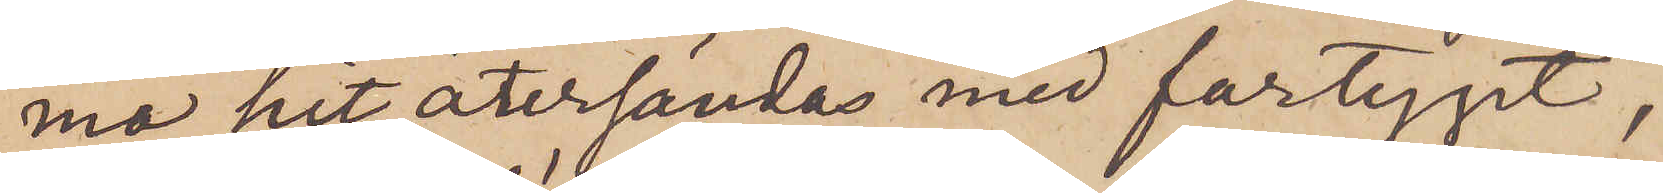ma hit återsändas med fartyget,
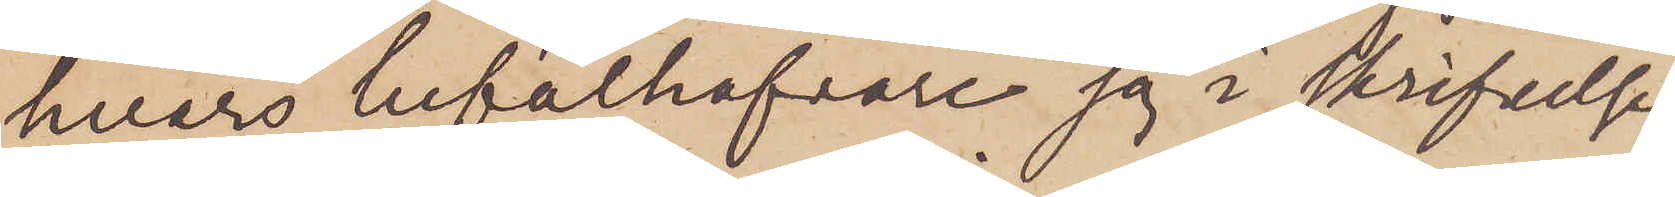hvars befälhafvare jag i skrifvelse
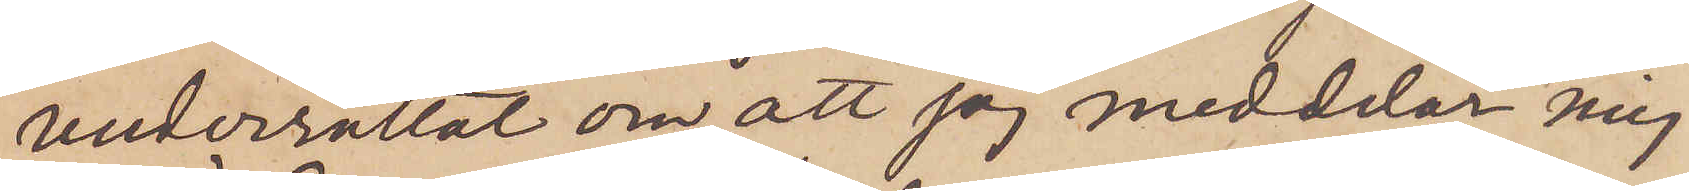underrättat om att jag meddelar mig
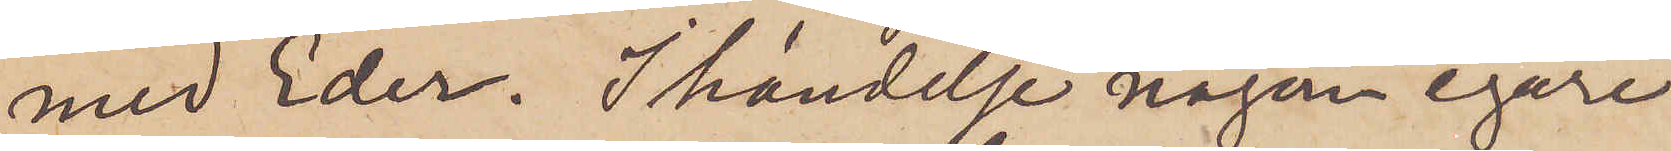med Eder. I händelse någon egare
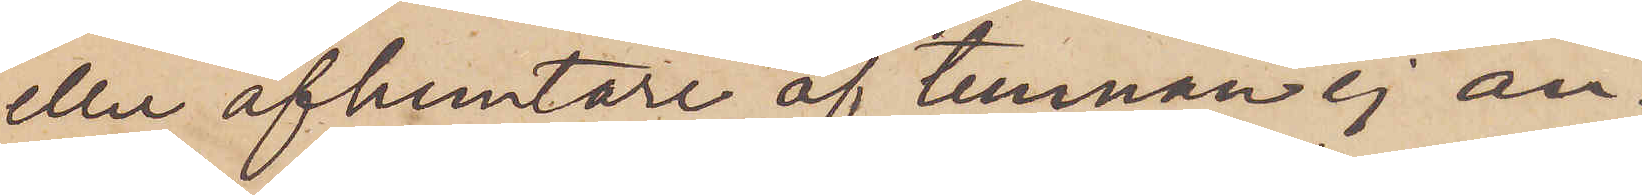eller afhemtare af tunnan ej an¬
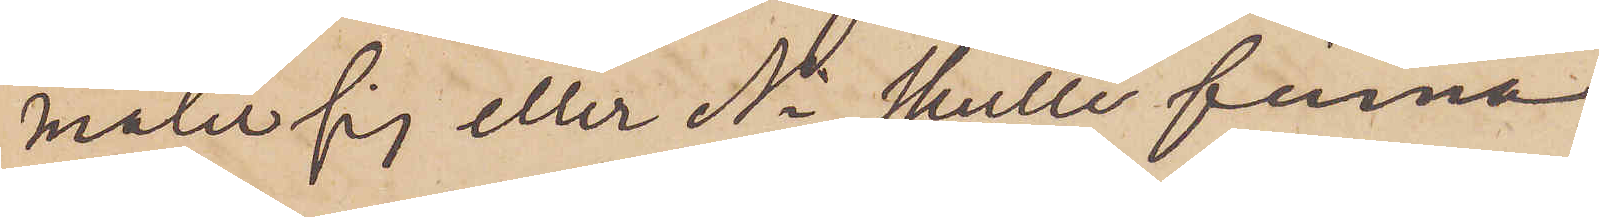mäler sig eller Ni skulle finna
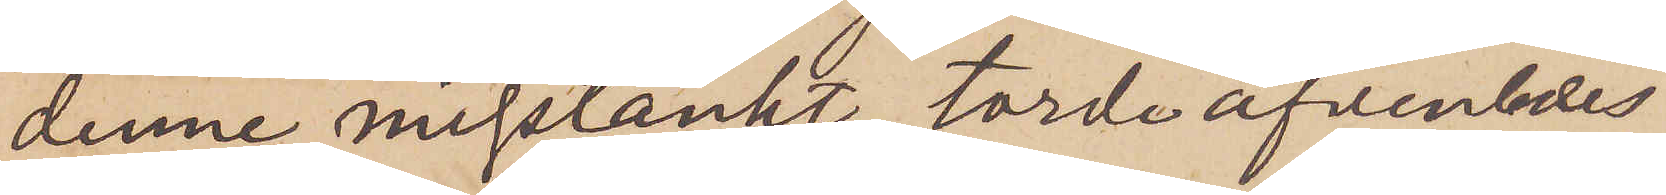denne misstänkt, torde äfvenledes
